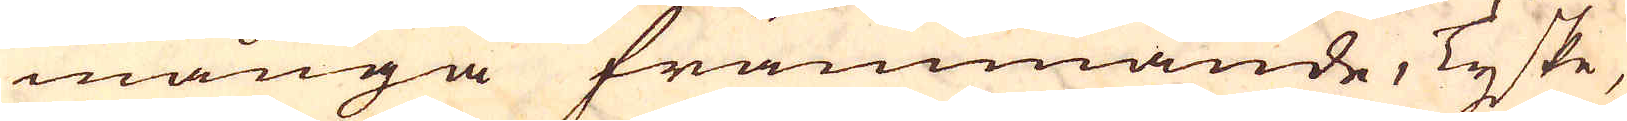många främmande, Tyske,
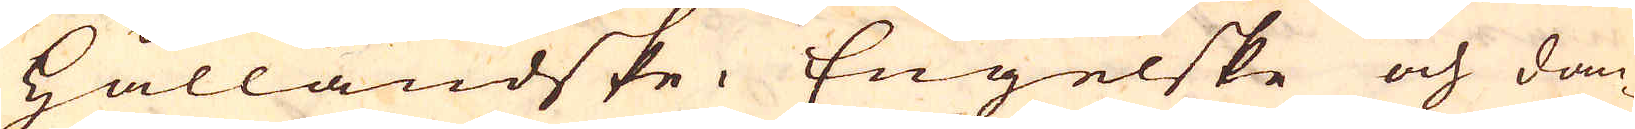Hålländske. Engelske och dan-
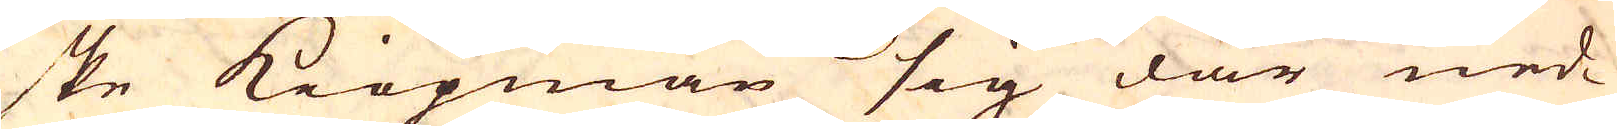ske kiöpman sig där ned-
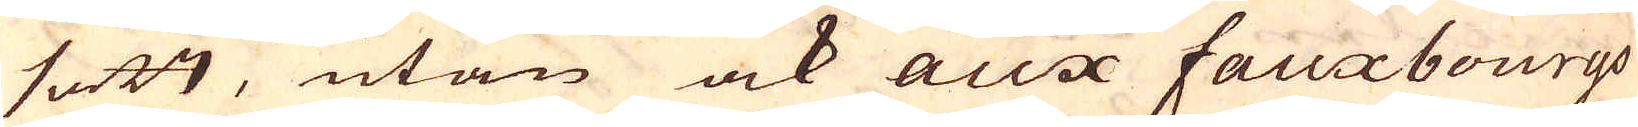satt, utan ock aux fauxbourgo
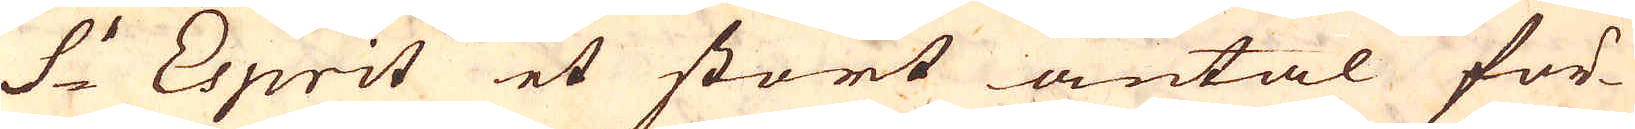S:t Esprit et stort antal för-
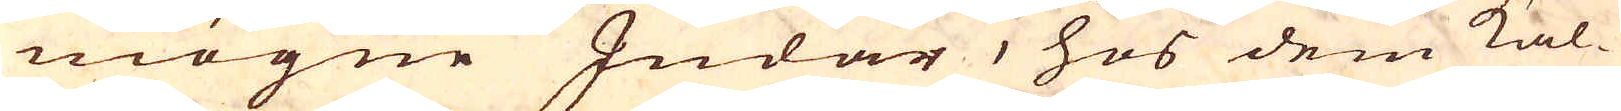mögne Judar, hos dem kal-
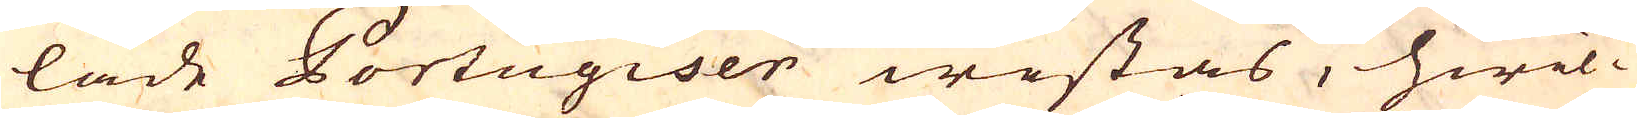lade Portugiser wistas, hwil-
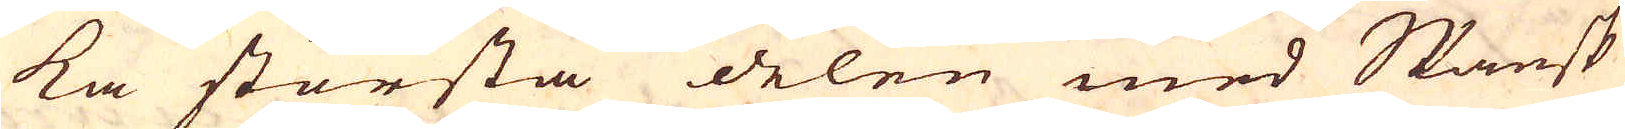ka största delen med Spansk
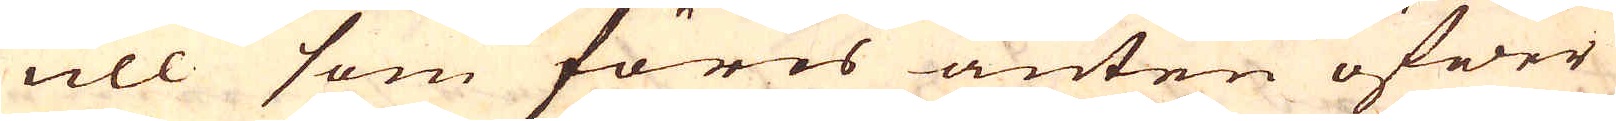ull som föres anten öfwer
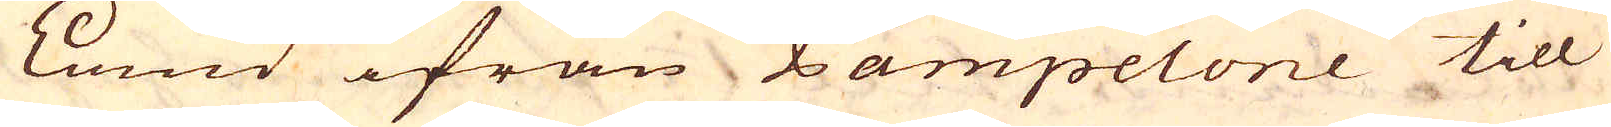Land ifrån Pampelone till
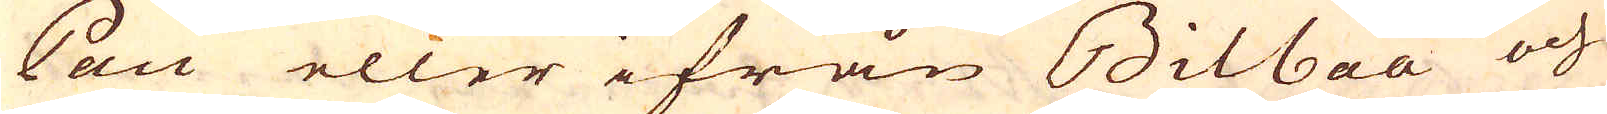Pau eller ifrån Bilbau och
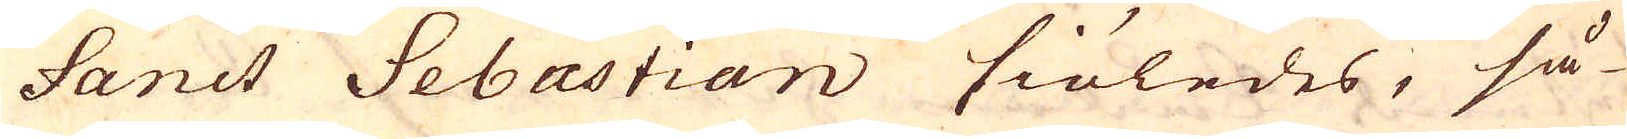Sanct Sebastian siöledes, så-
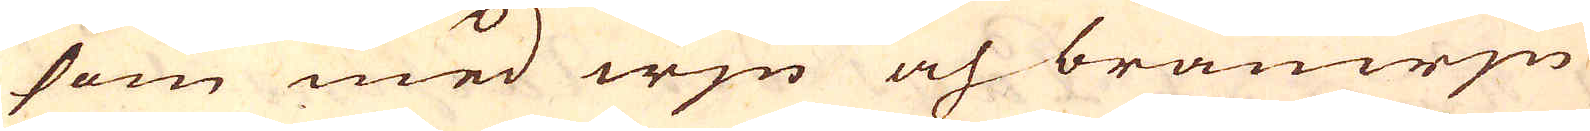som med wjn och bränwjn
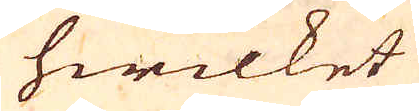hwilket
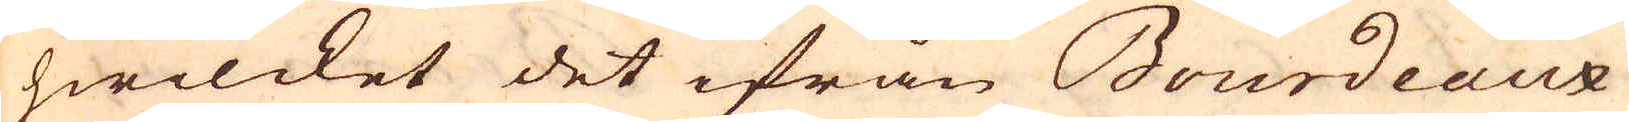hwilcket det ifrån Bourdeax
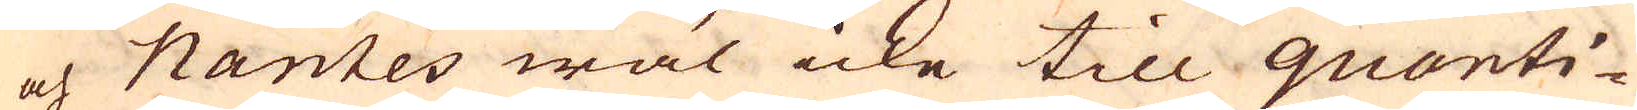och Nantes wäl icke till quanti-
